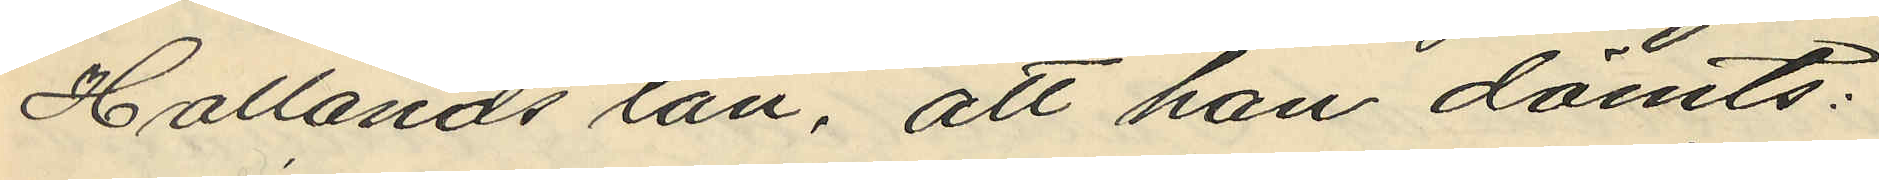Hallands län, att han dömts:
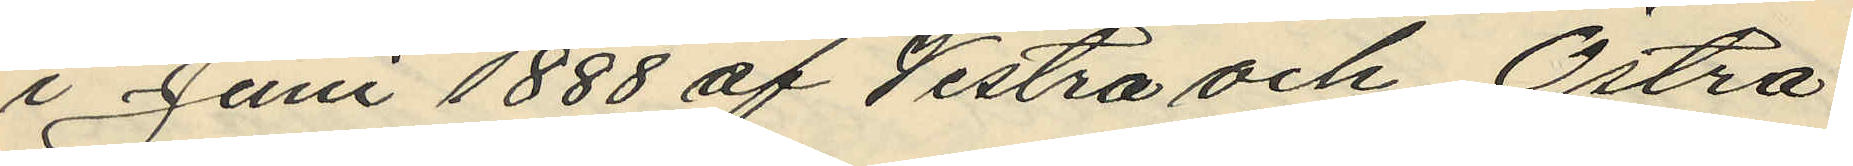i Juni 1888 af Vestra och Östra
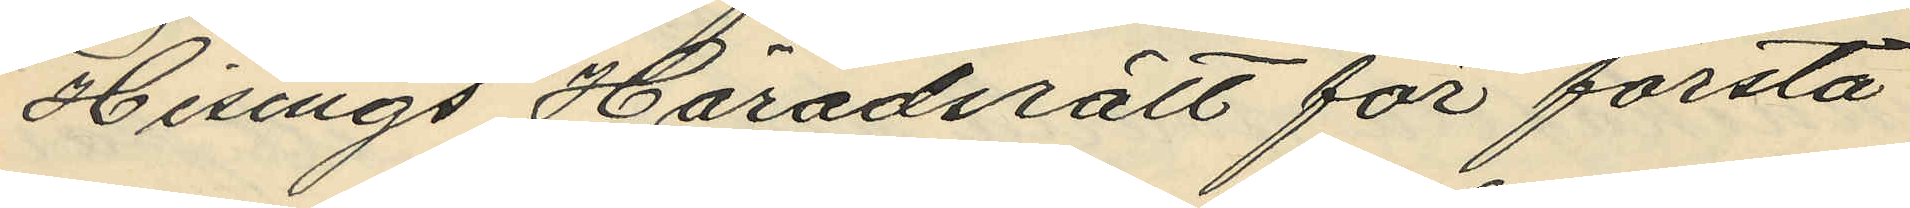Hisings Häradsrätt för första
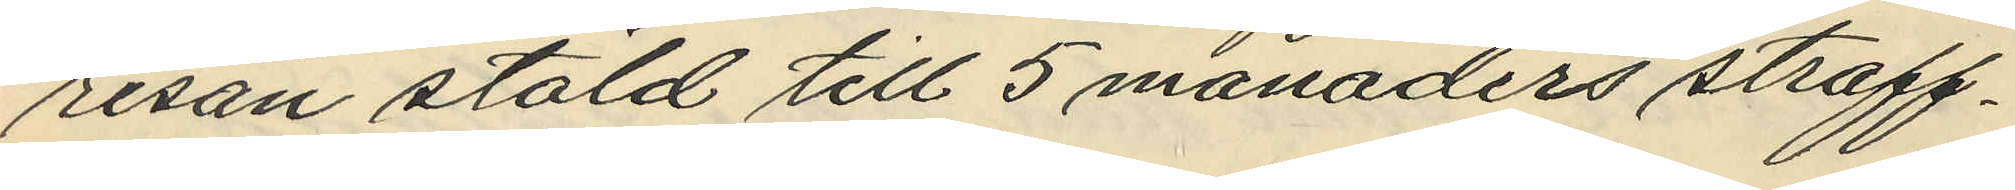resan stöld till 5 månaders straff¬
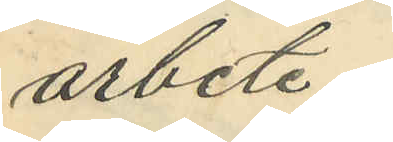arbete;
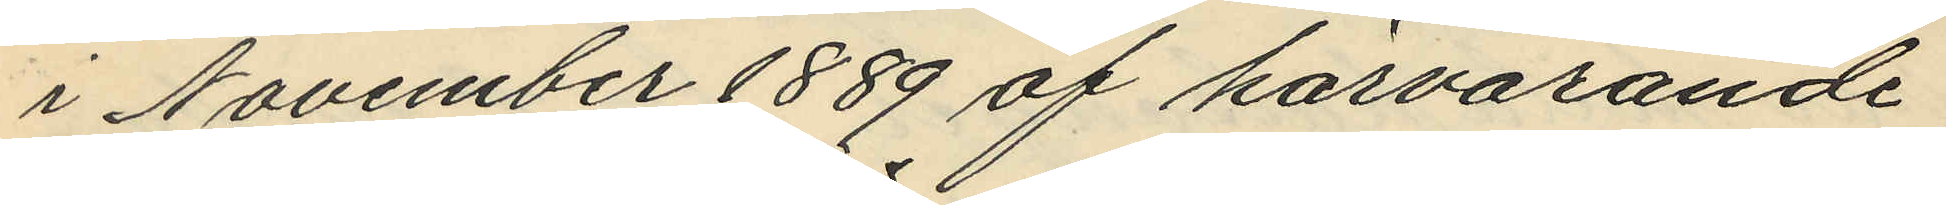i November 1889 af härvarande
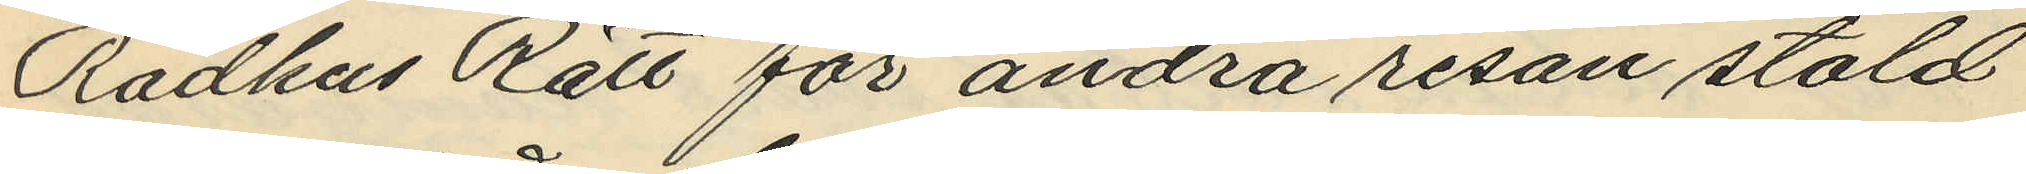Rådhus Rätt för andra resan stöld
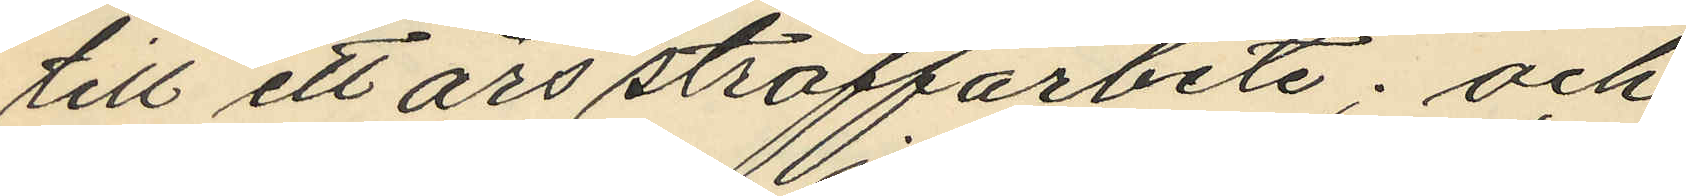till ett års straffarbete; och
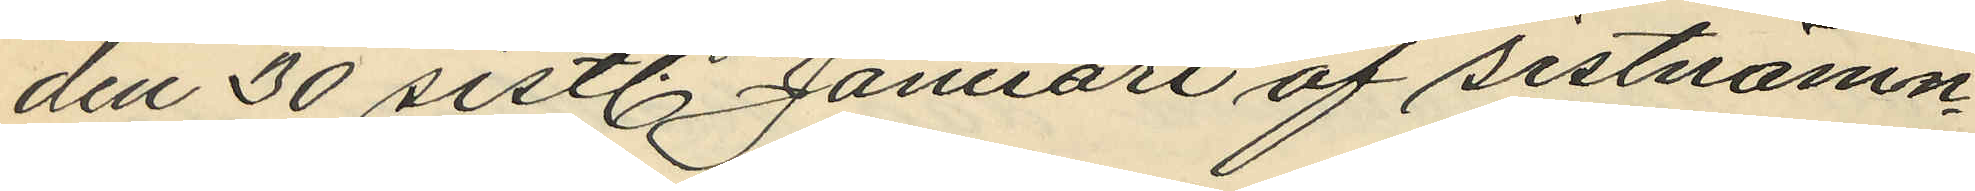den 30 sistl. Januari af sistnämn¬
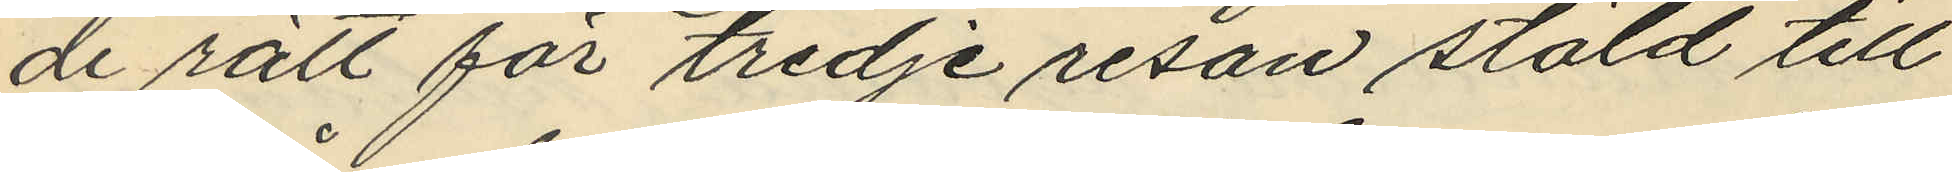de rätt för tredje resan stäld till
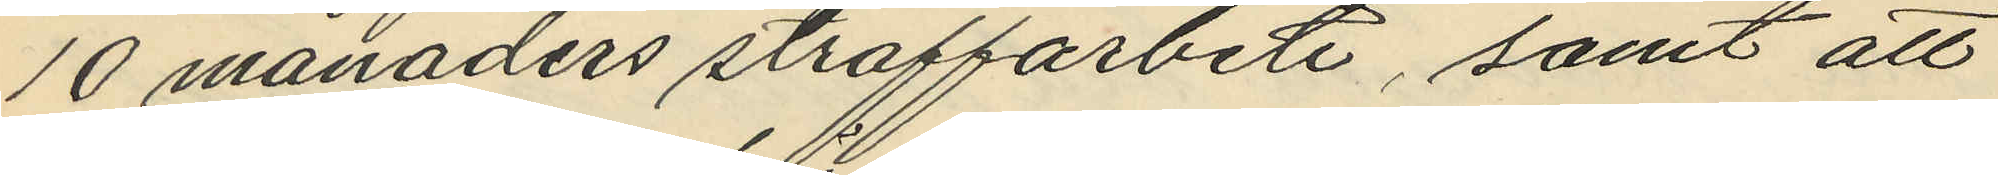10 månaders straffarbete, samt att
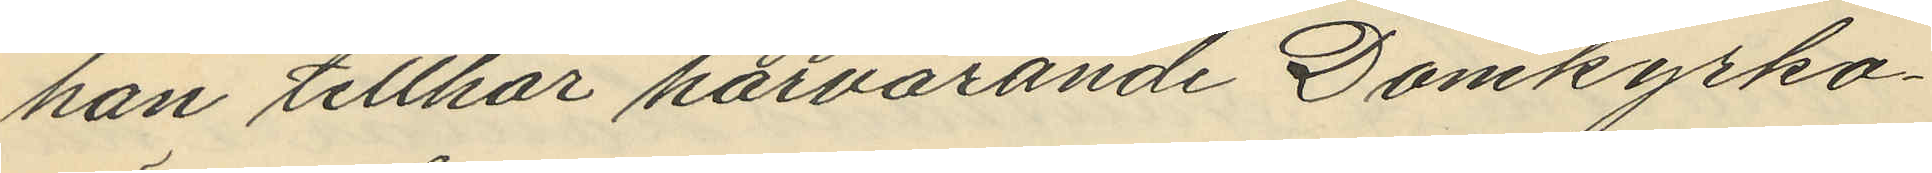han tillhör härvarande Domkyrko¬
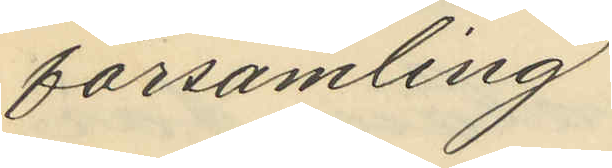församling
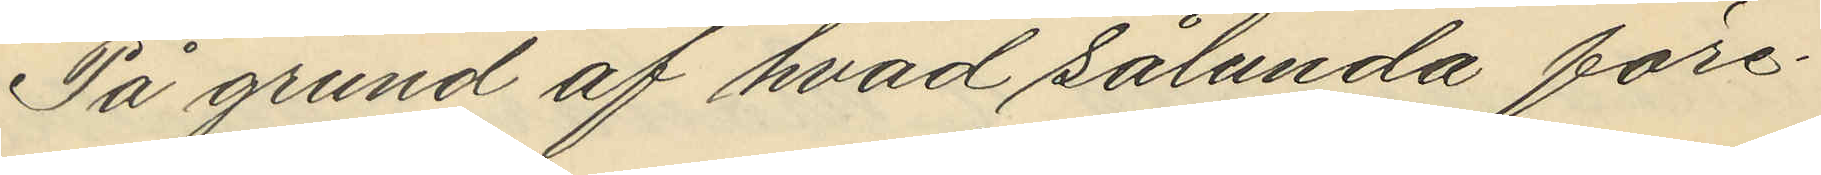På grund af hvad sålunda före¬
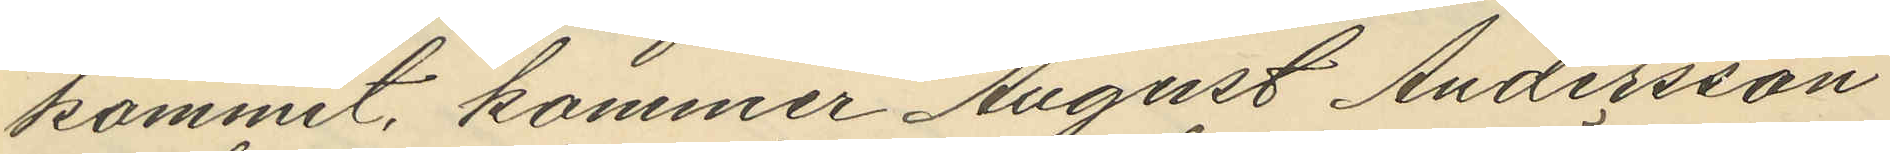kommit, kommer August Andersson
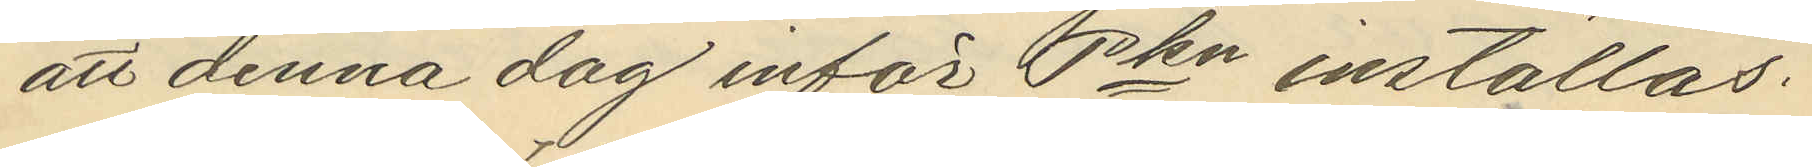att denna dag inför Pkn inställas.
